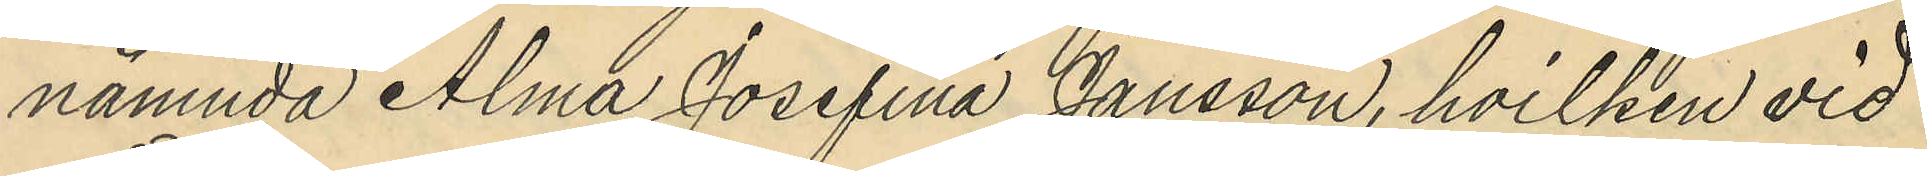nämnda Alma Josefina Jansson, hvilken vid
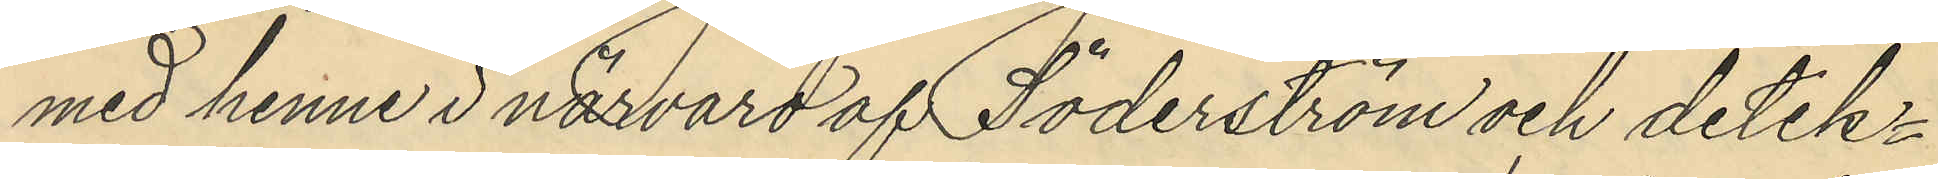med henne i närväro af Söderström och detek¬
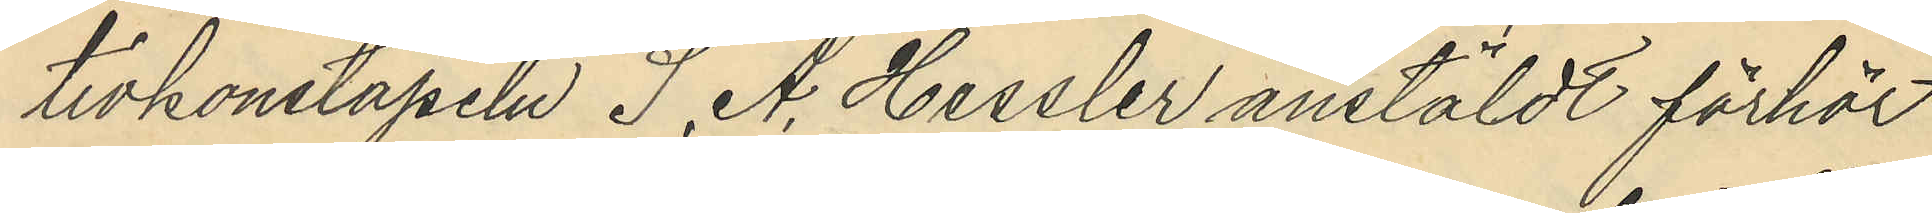tivkonstapeln S. A. Hessler anstäldt förhör
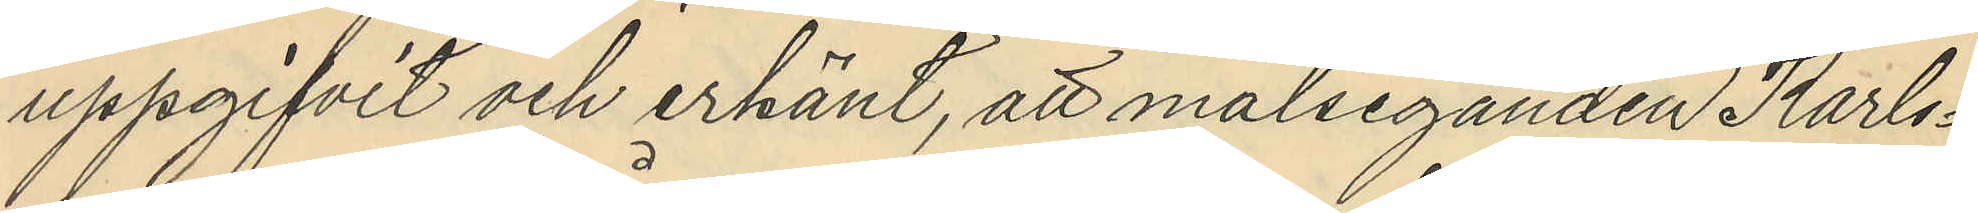uppgifvit och erkänt, att målseganden Karls¬
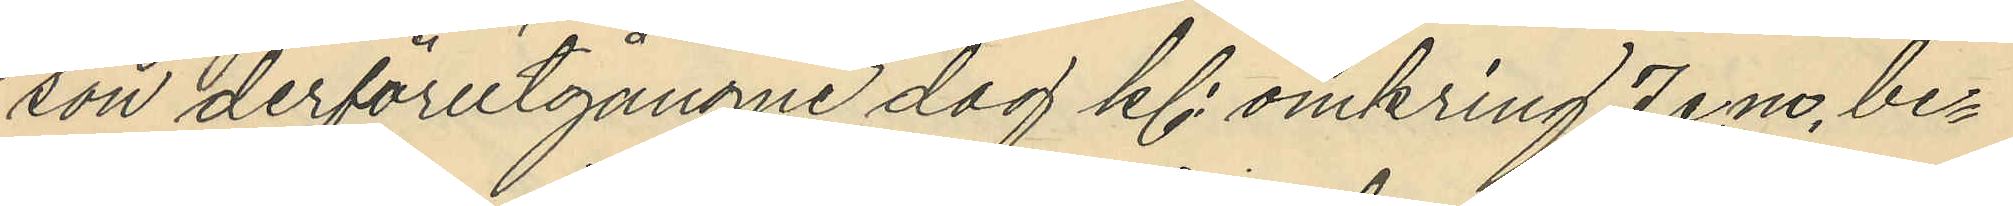son derförutgångne dag kl. omkring 7 e,m, be¬
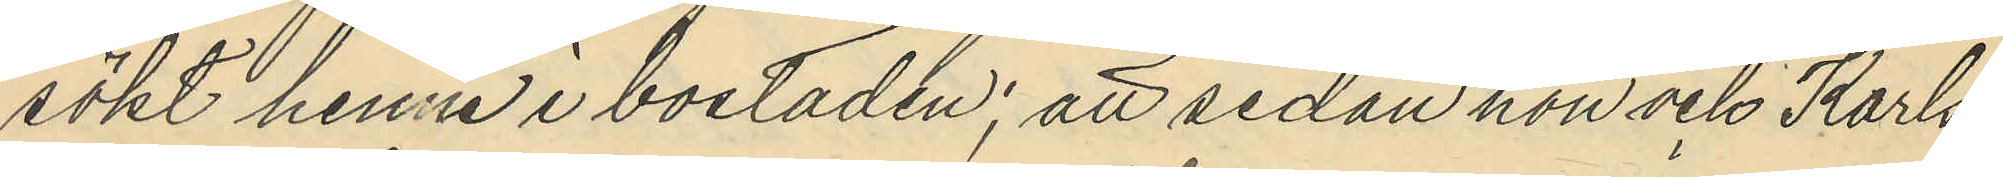sökt henne i bostaden; att sedan hon och Karls¬
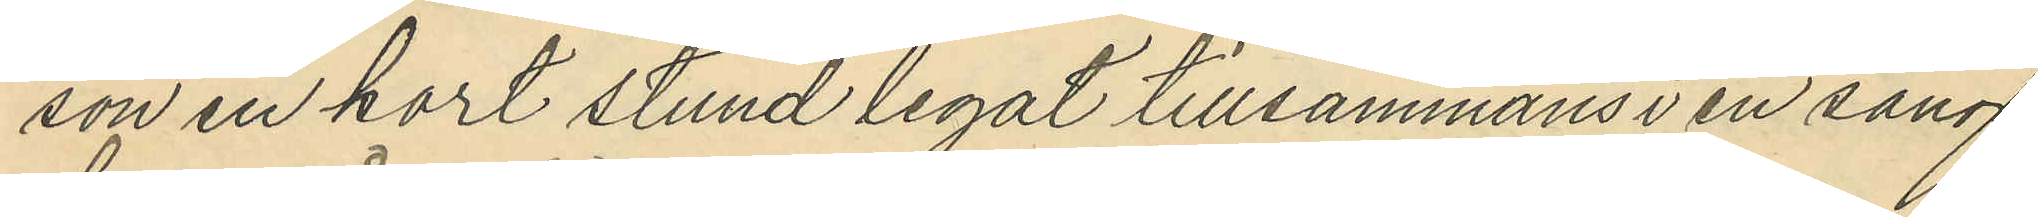son en kort stund legat tillsammans i en säng
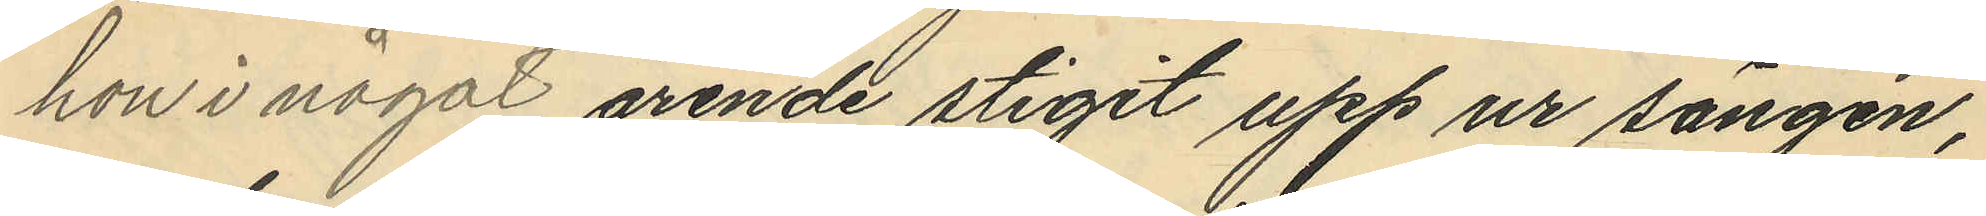hon i något ärende stigit upp ur sängen,
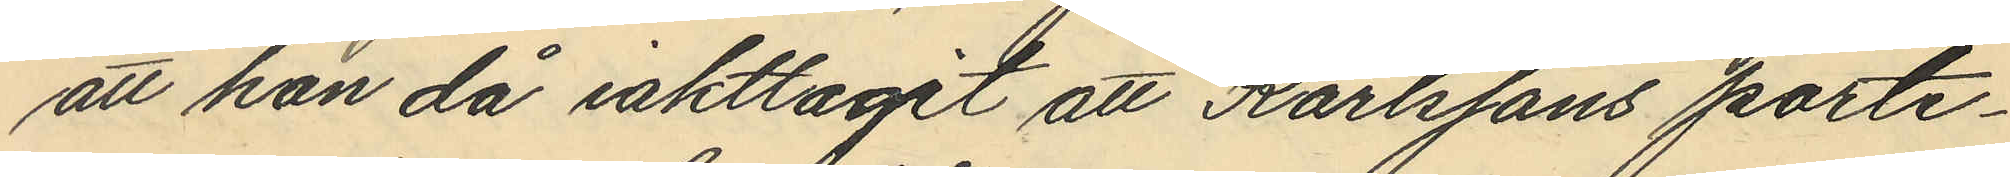att han då iakttagit att Karlssons porte¬
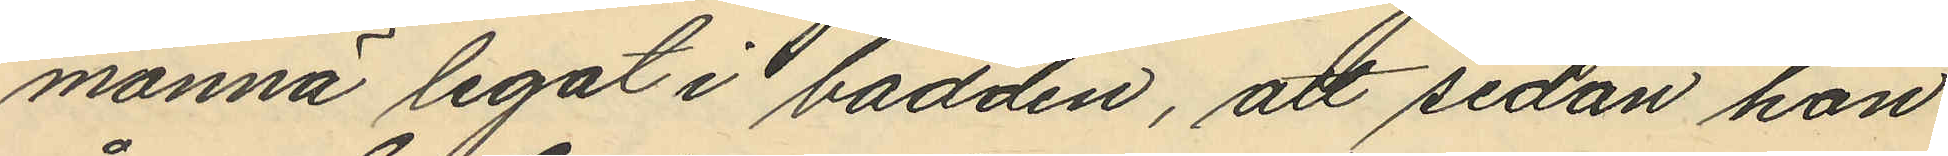monnä legat i bädden, att sedan hon
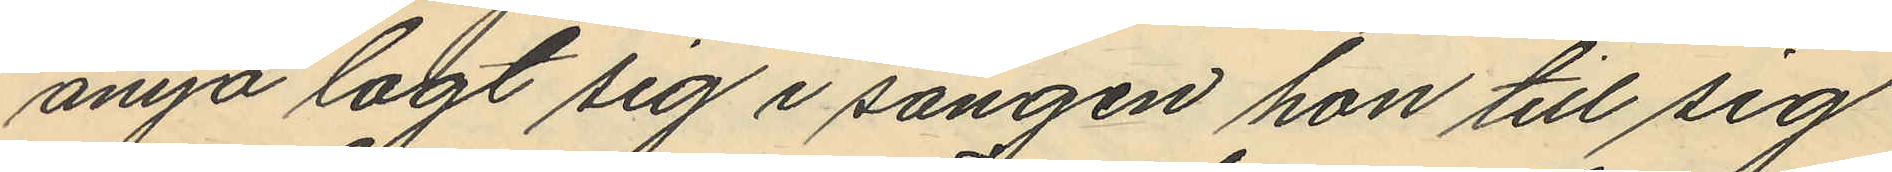ånyo lagt sig i sängen hon till sig
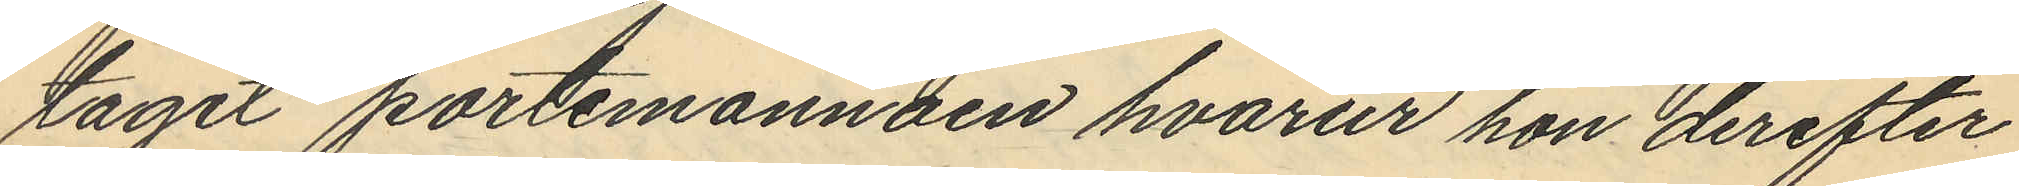tager portemonnäen hvarur hon derefter
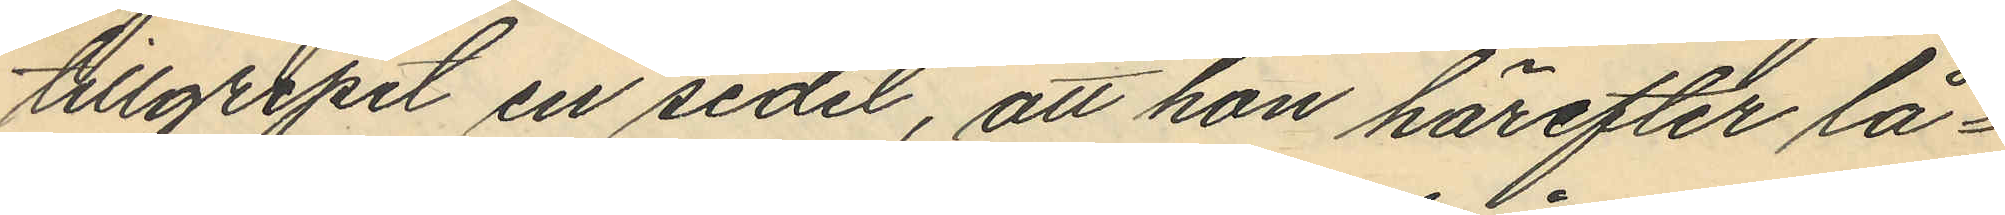tillgripit en sedel, att hon härefter lå¬
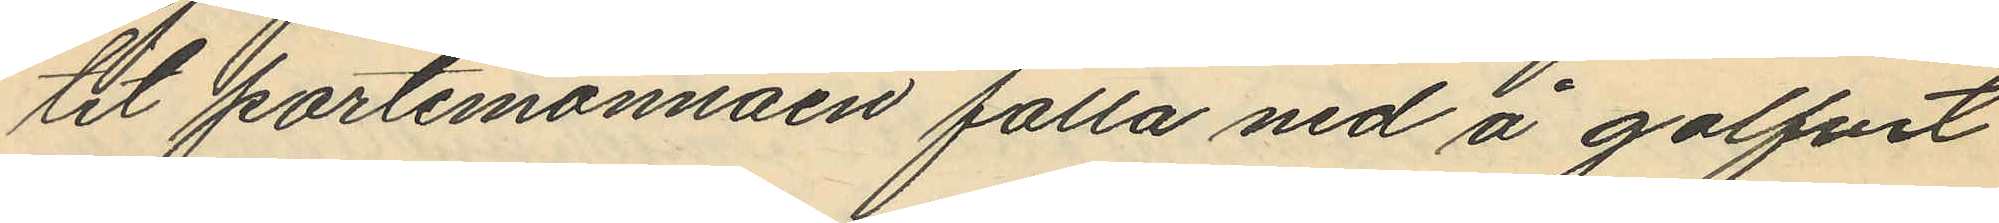tit portemonnäen falla ned å golfvet
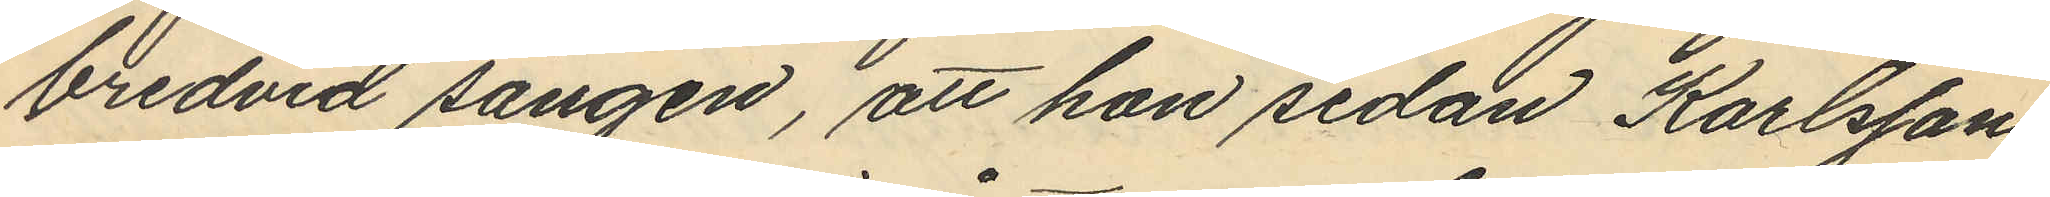bredvid sängen, att hon sedan Karlsson
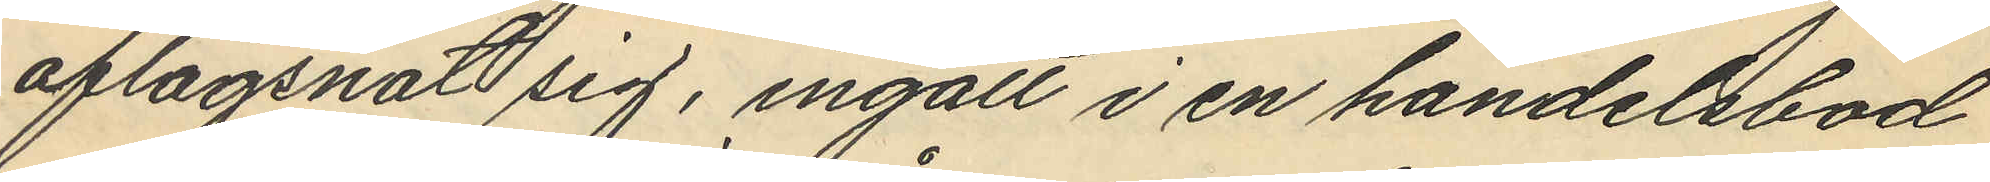aflägsnat sig, ingått i en handelsbod
